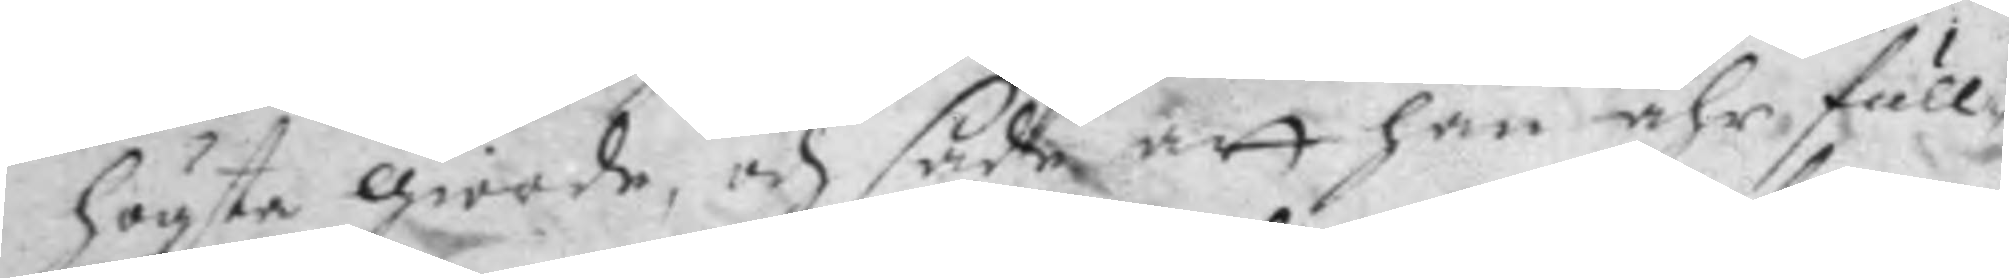högste giorde, och sade att han ähr, full¬
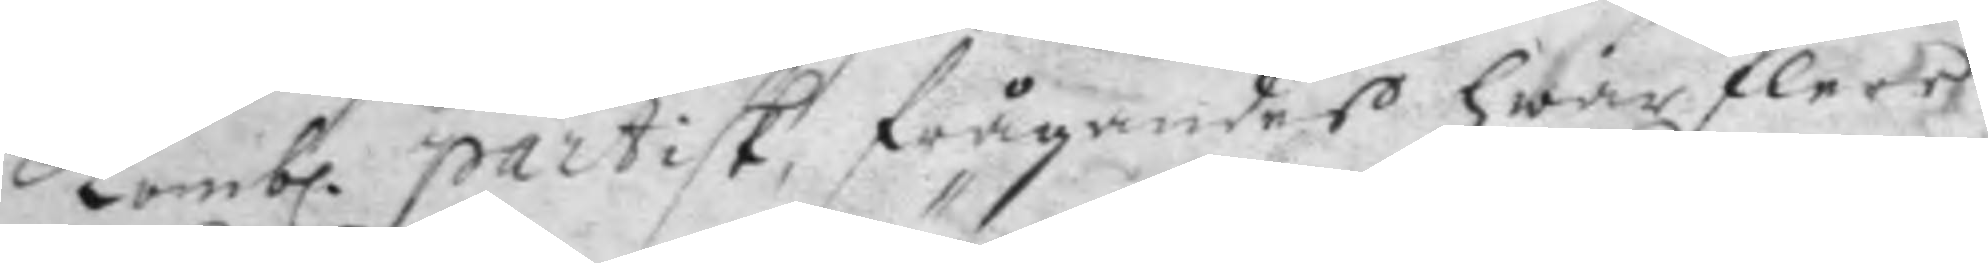komb. partisk, frågandes hwar flere 
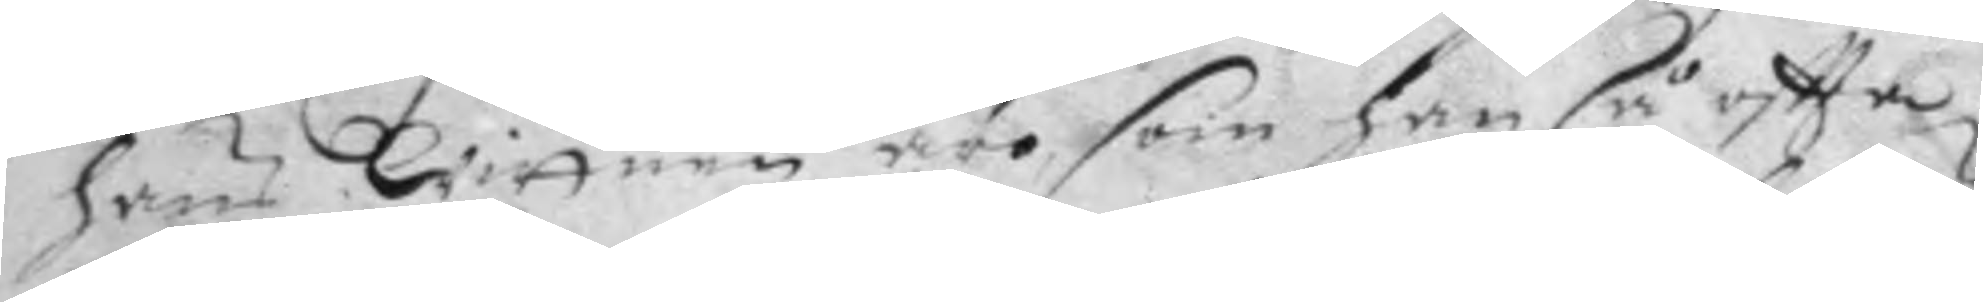hans Wittnen äro, som han så oftta
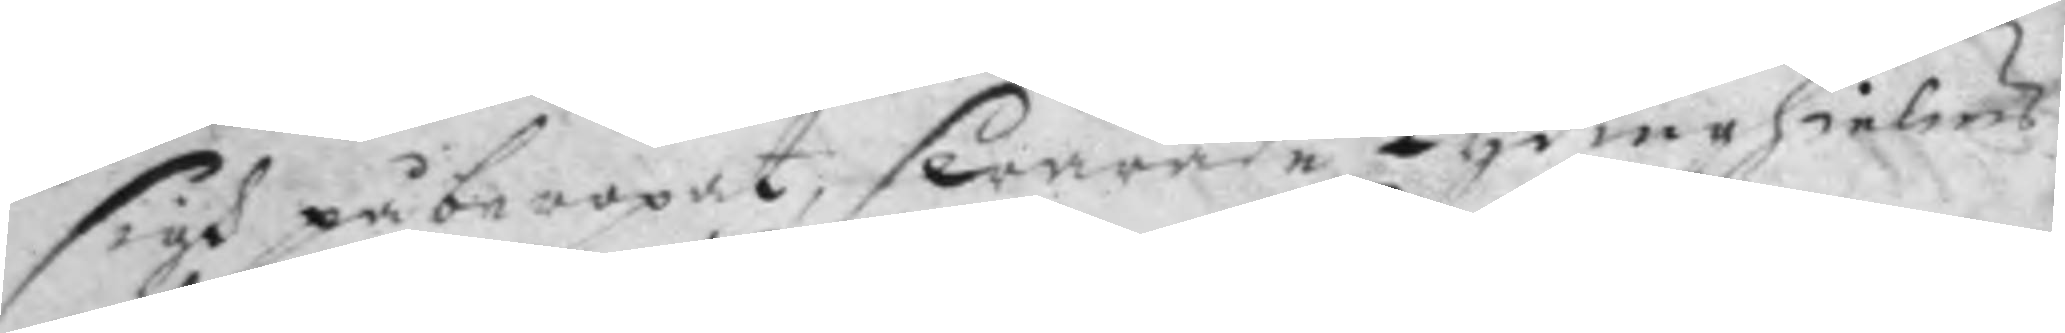sigh påberopat, swarade Lydinehielms
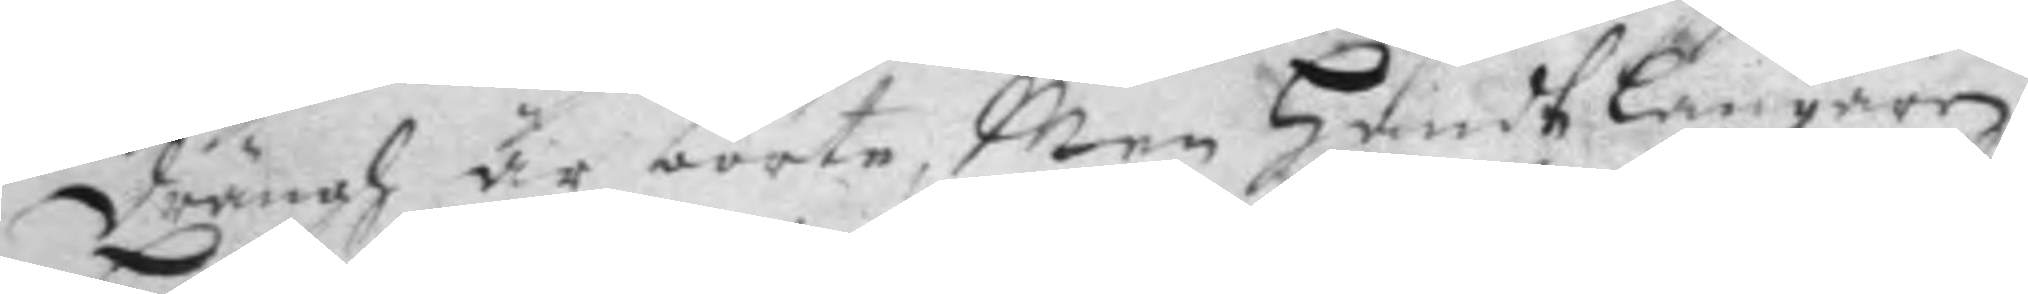drängh är borte, Men Handtlangaren
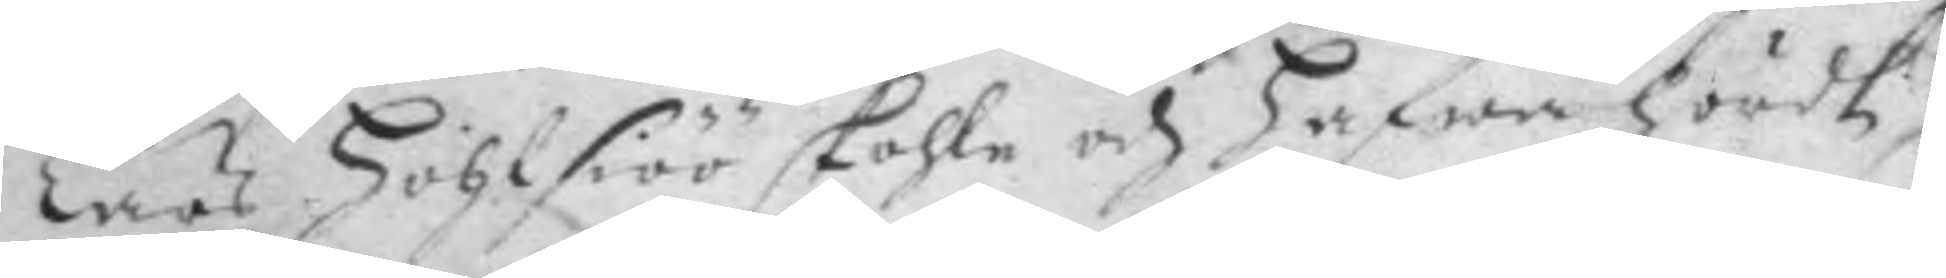Lars Hohlsiöö skohle och hafwa hördt
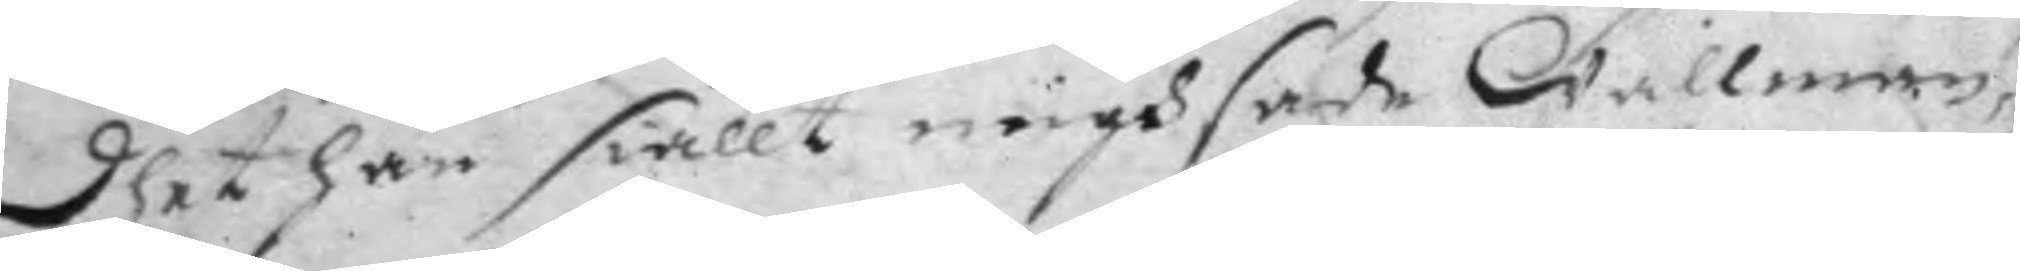dhet han siällt migh sade Wallman.
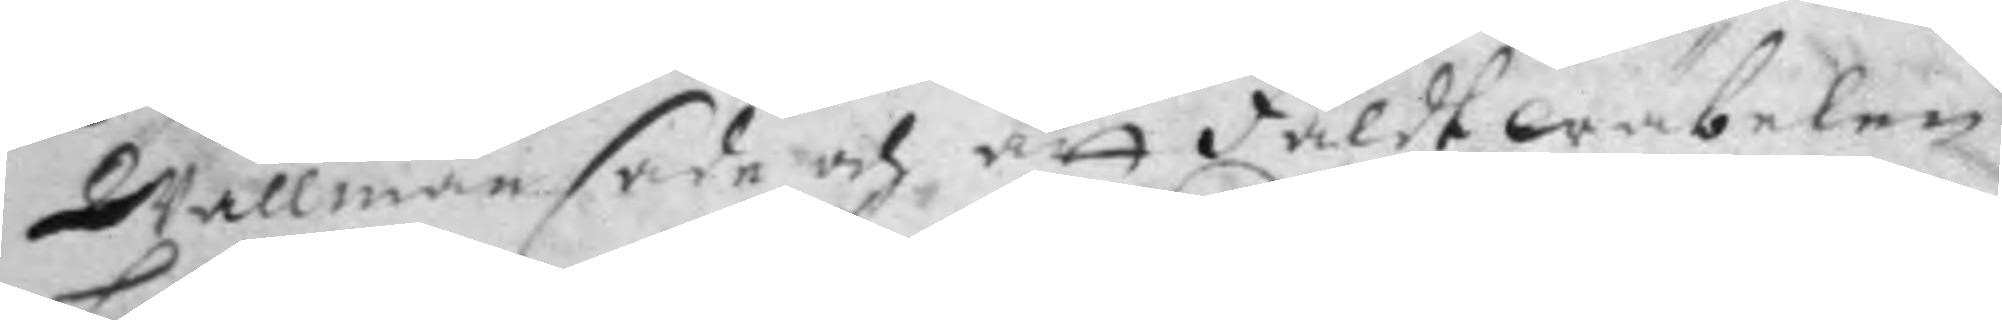Wallman sade och att Fäldt wäbelen
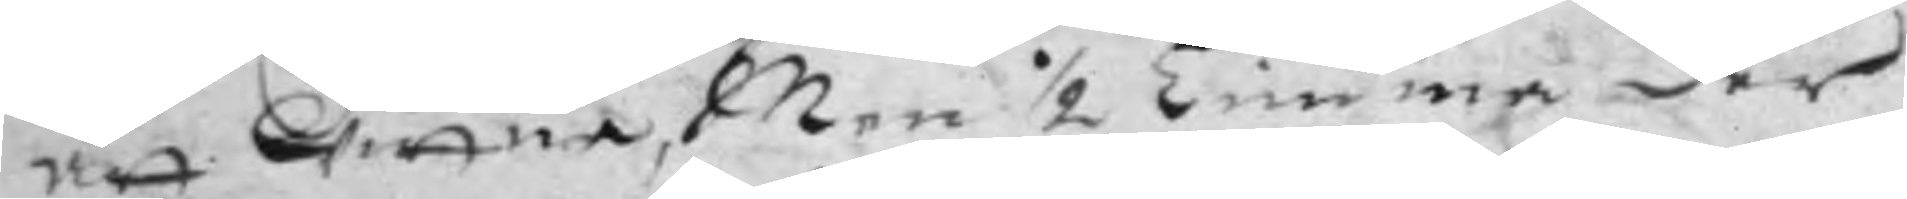att wittna, Men ½ timma der
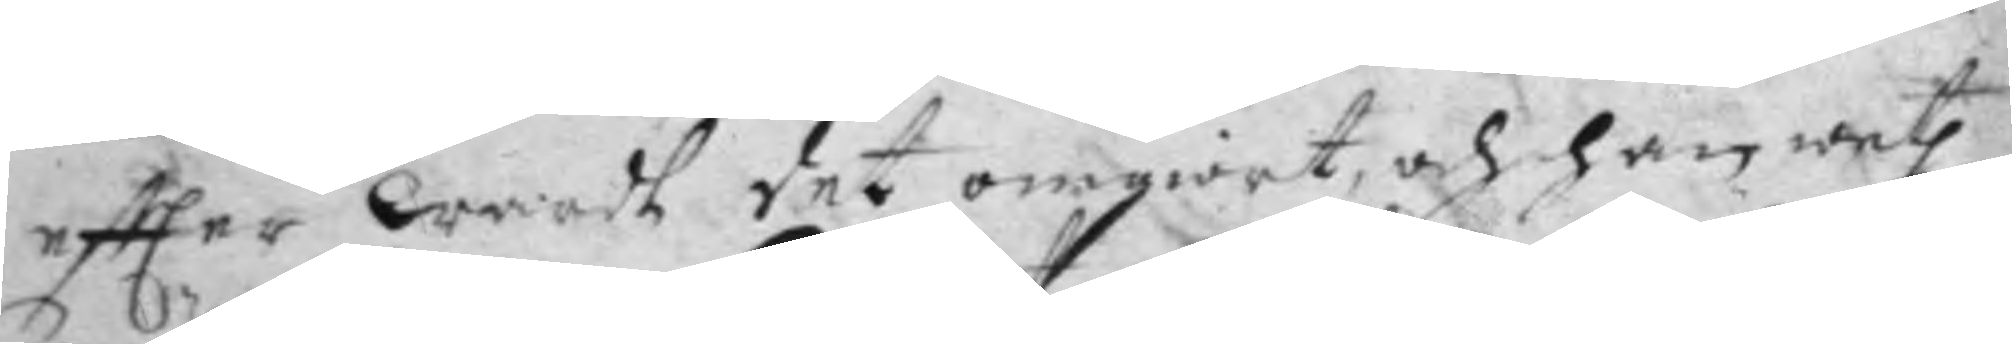eftter wardh det omgiort, och han weth
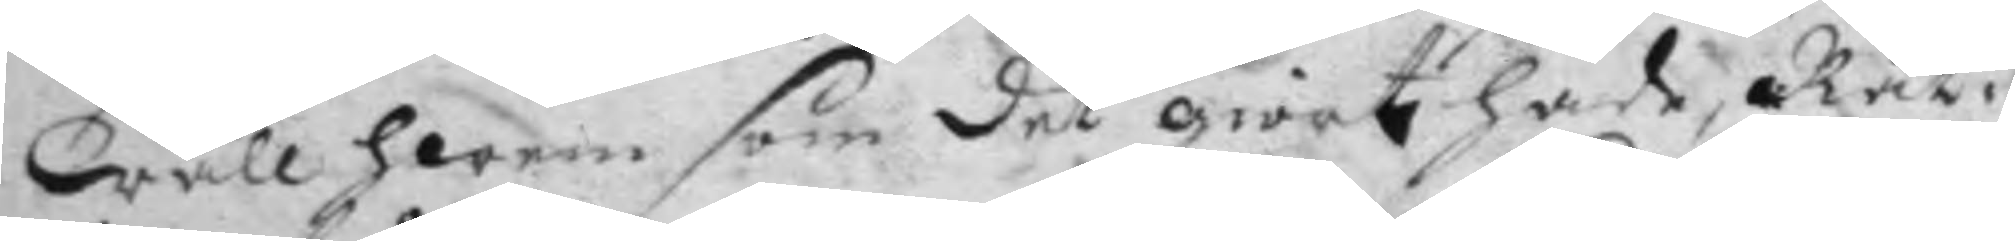wäll hwem som det giort hade, Rät¬
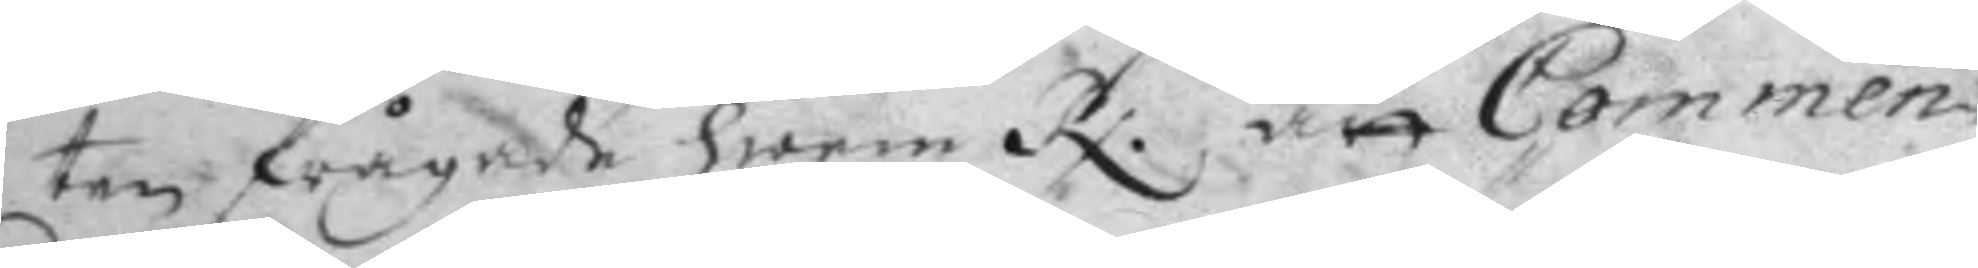ten frågade hwem Rx: att Commen¬ 
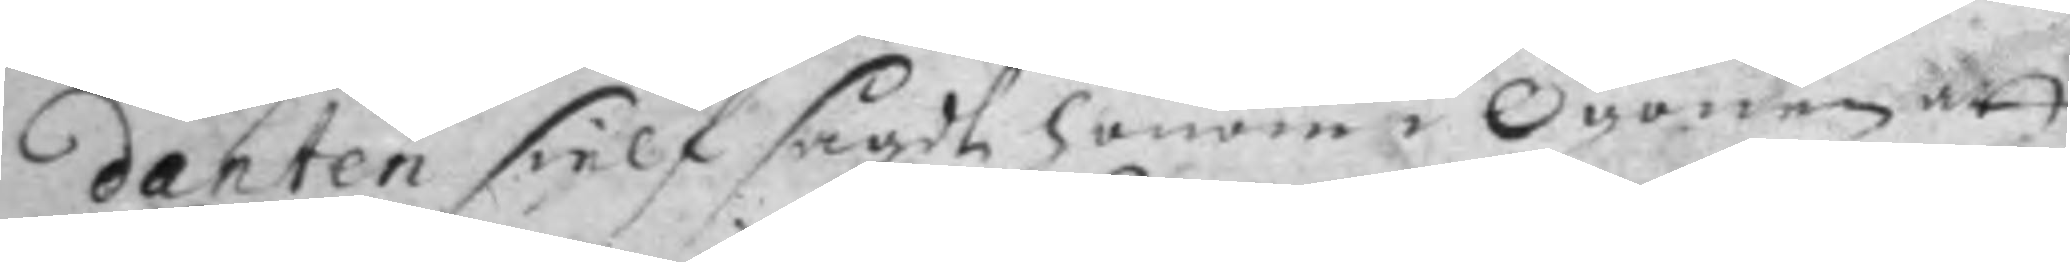danten sielf sagdt honom Ögonen att
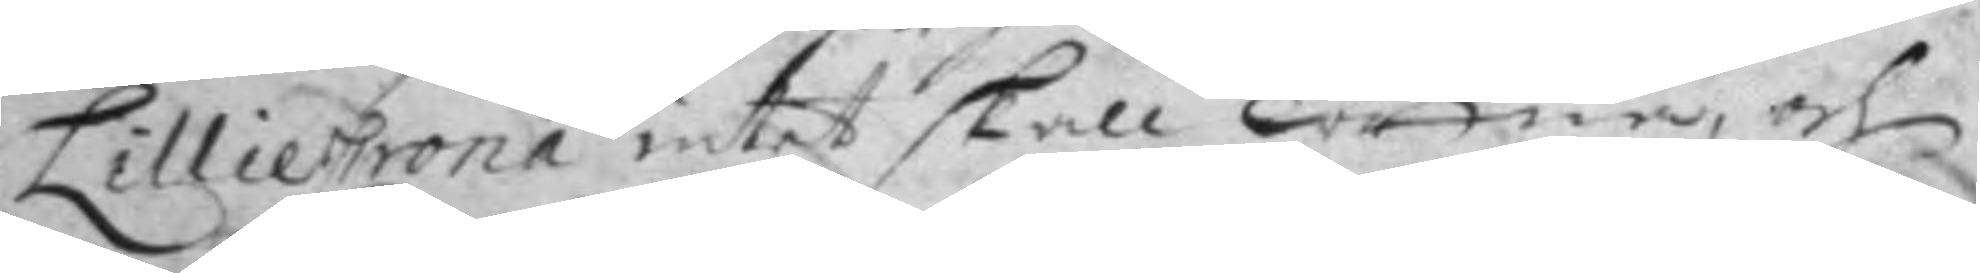LillieCrona intet skall wittna, och
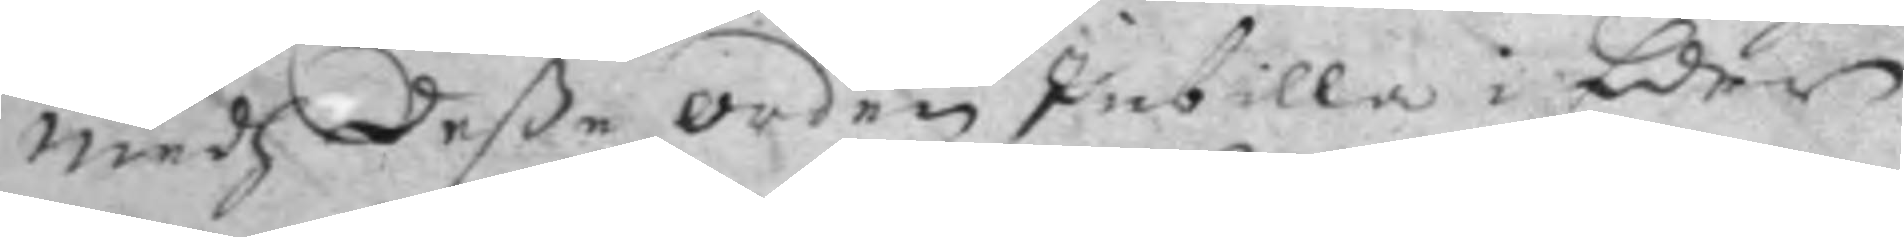medh deße orden Inbilla i Eder
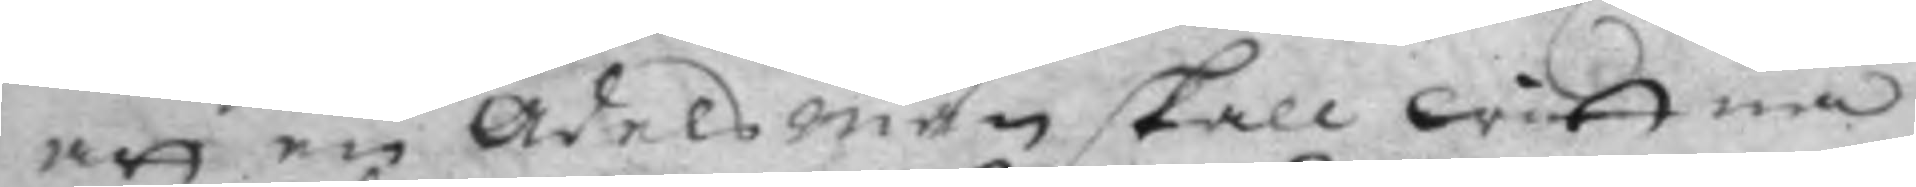att en Adelsman skall wittna
